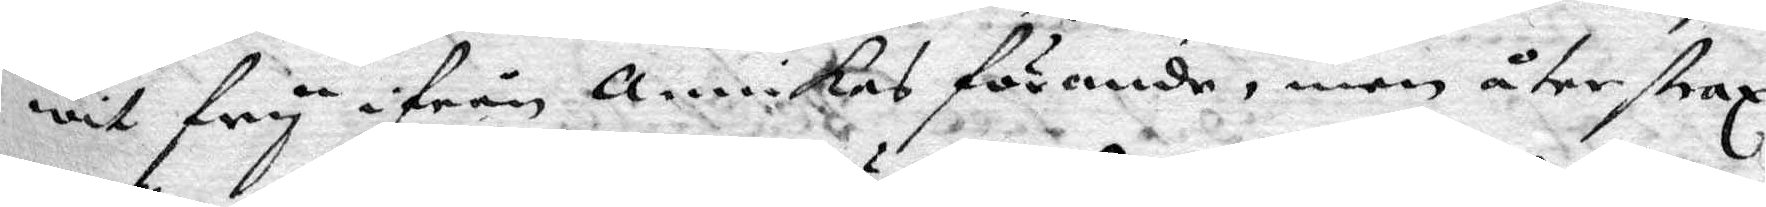wit fry ifrån Annikas förande, men åter strax
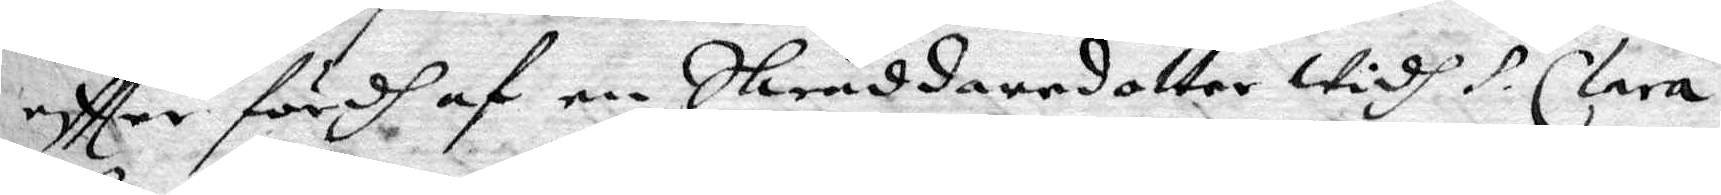eftter fördh af en Skräddaredotter widh S. Clara
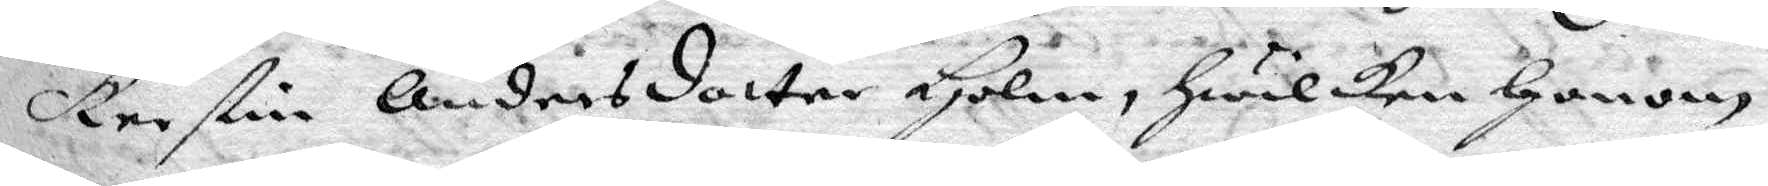Kerstin Andersdotter Holm, Hwilken Honom
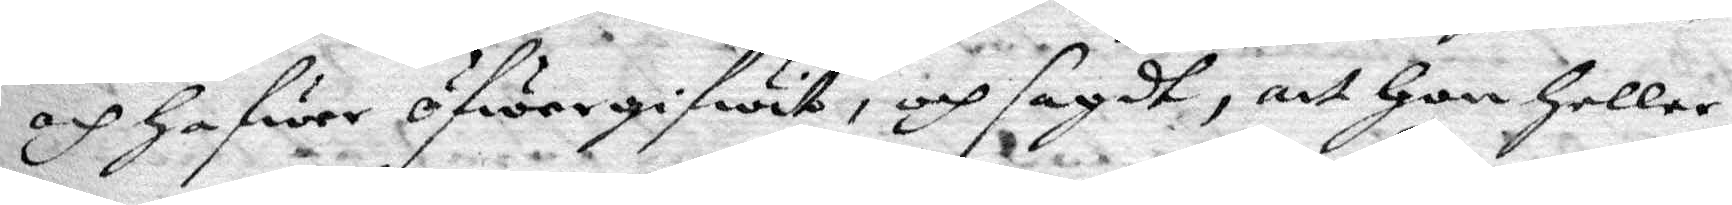och hafwer öfwergifwit, och sagdt, att Hon Hellre
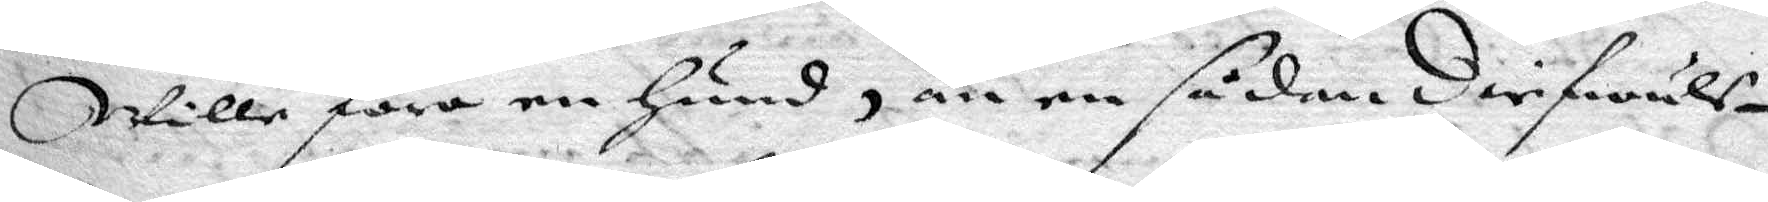wille föra en Hund, än en sådan Diefwuls¬
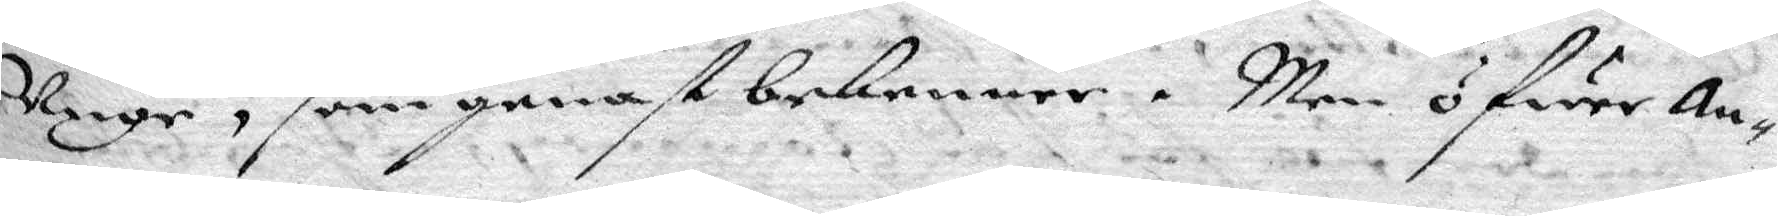Unge, som genast bekenner. Men öfwer an¬
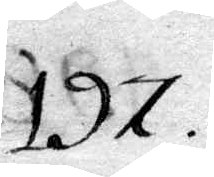197.
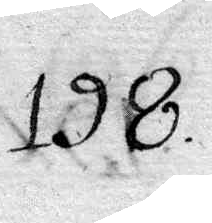198.
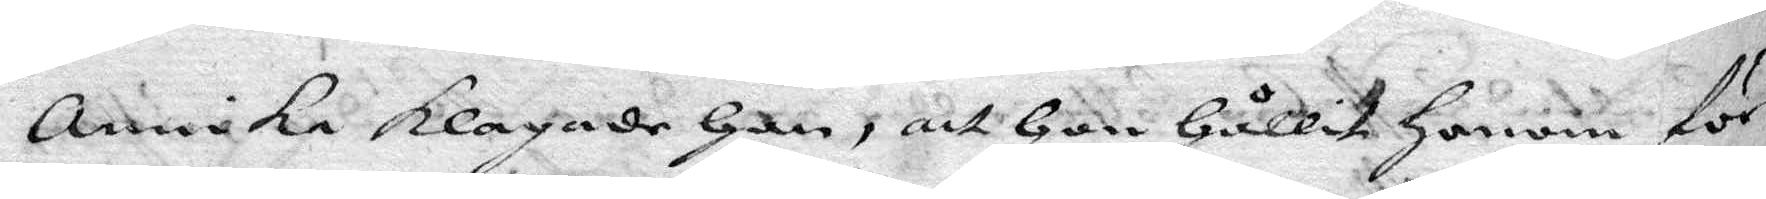annika klagade han, att hon hållit honom för
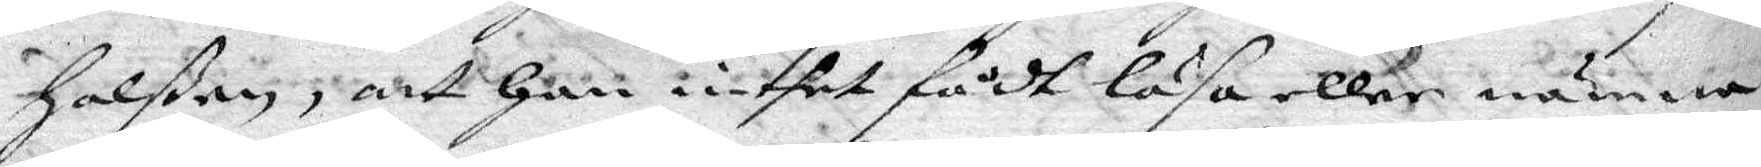halßen, att han intet fådt läsa eller nämna
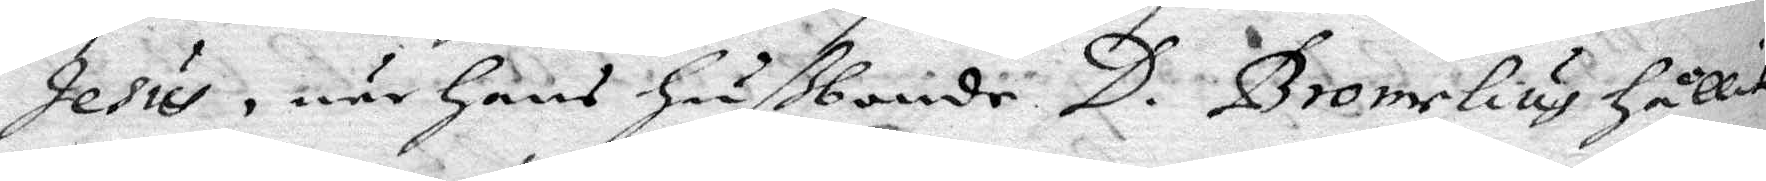Jesus, när hans hußbonde D. Bromelius hållit
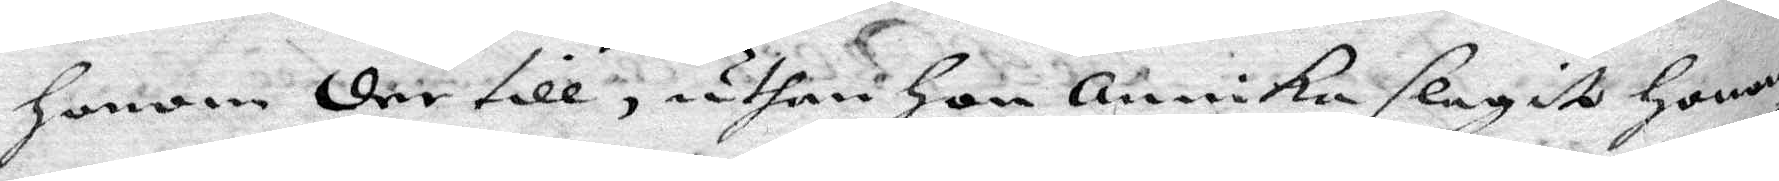honom der till, uthan hon Annika slagit honom
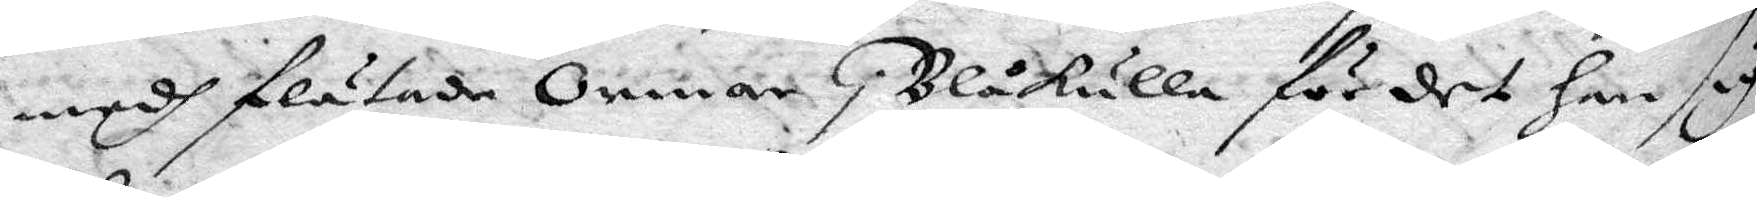medh flätade ormar i Blåkulla för det han sig
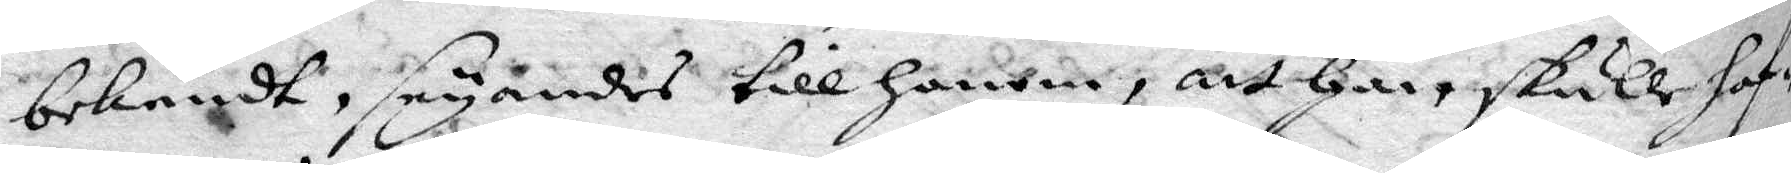bekendt, seyandes till honom, att han skulle haf¬
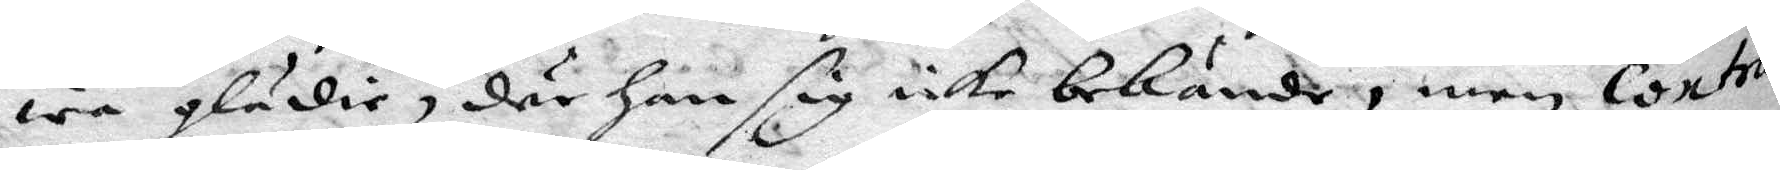wa glädie, där han sig icke bekende, med contra
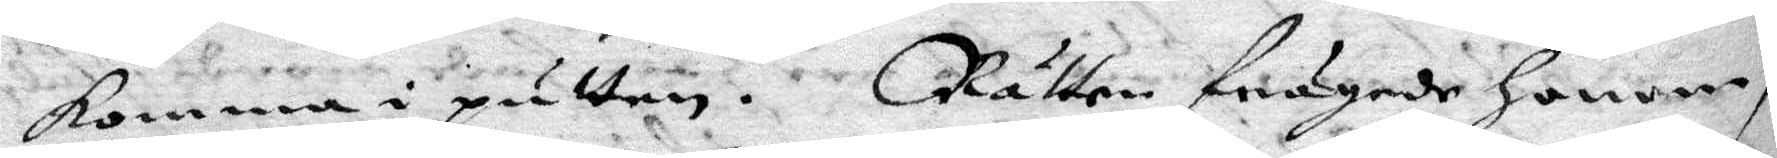komma i putten. Rätten frågade honom
